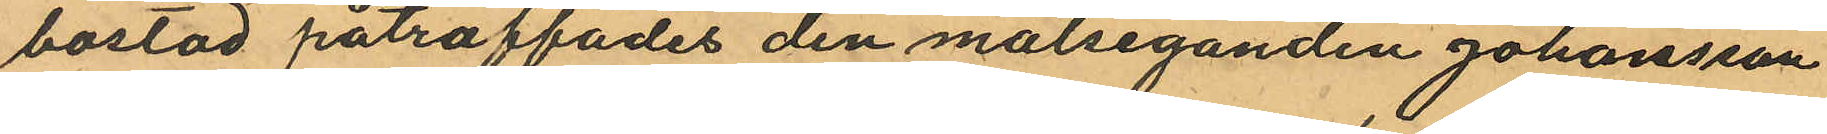bostad påträffades den målseganden Johansson
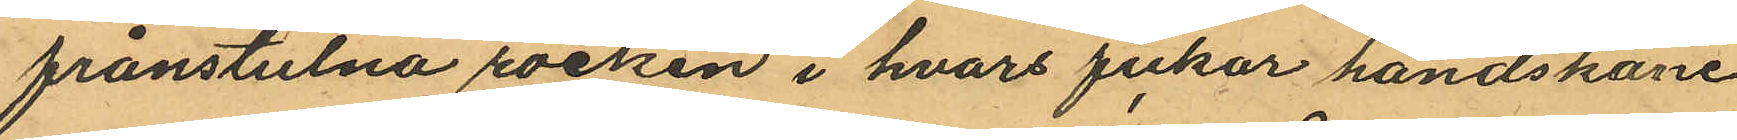frånstulna rocken i hvars fickor handskane
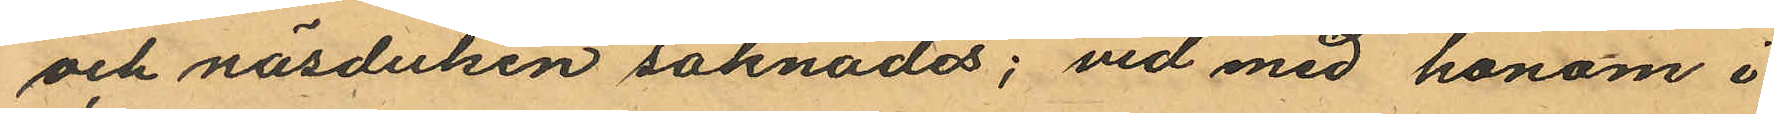och näsduken saknades; vid med honom i
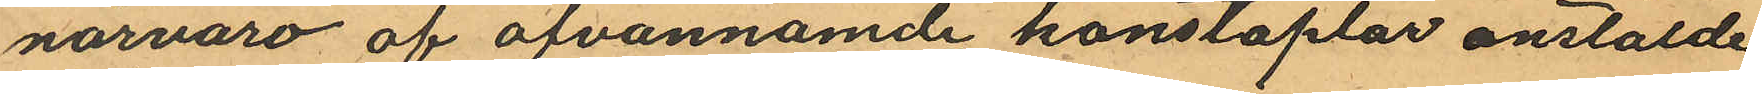närvaro af ofvannämnde konstaplar anstälde
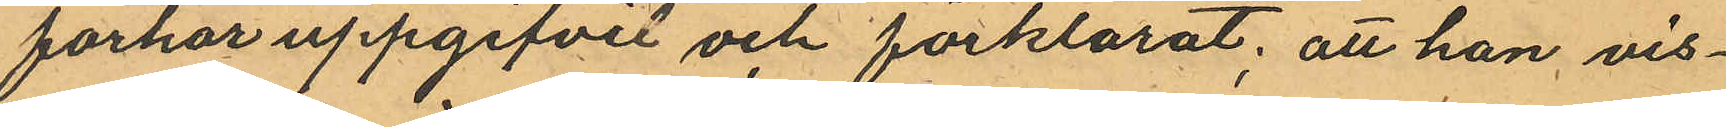förhör uppgifvit och förklarat; att han vis¬
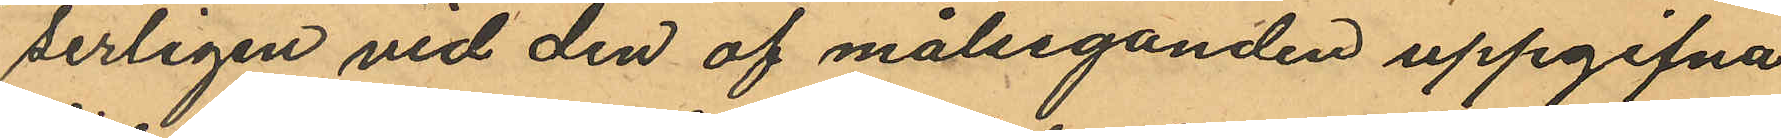serligen vid den af målseganden uppgifna
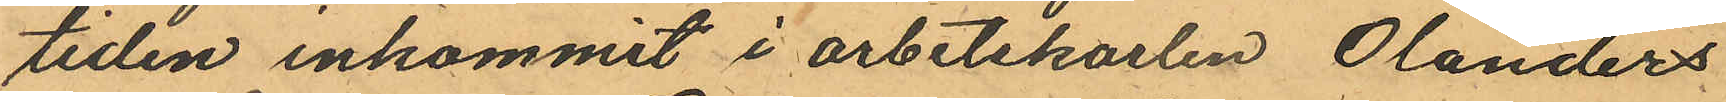tiden inkommit i arbetskarlen Olanders
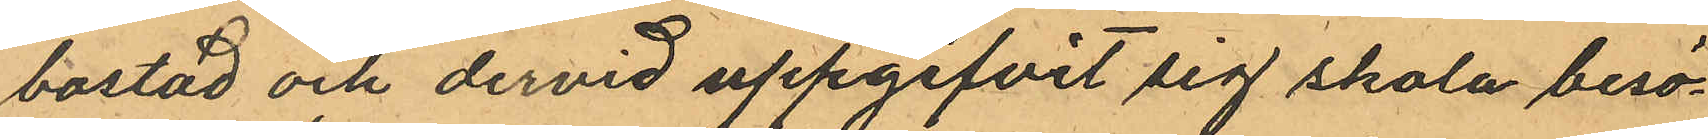bostad och dervid uppgifvit sig skola besö¬
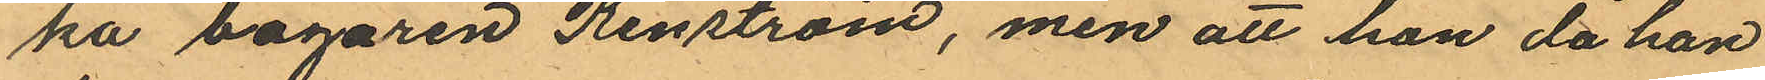ka bagaren Renström, men att han då han
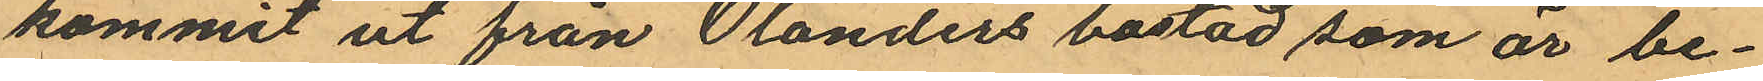kommit ut från Olanders bostad som är be¬
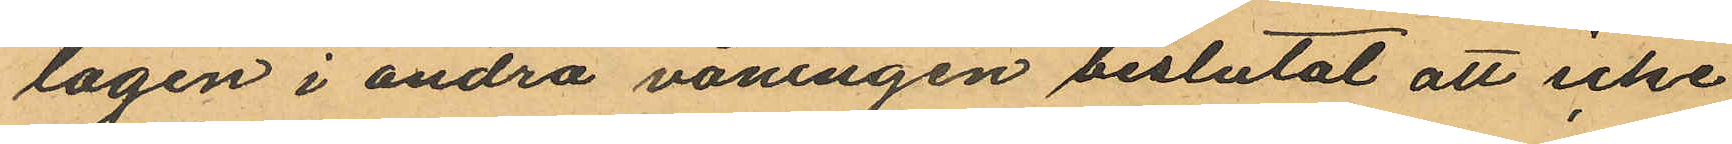lägen i andra våningen beslutat att icke
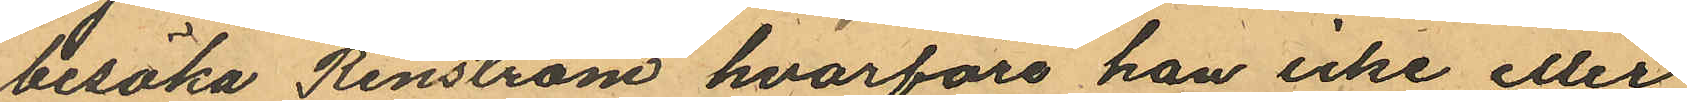besöka Renström hvarföre han icke eller
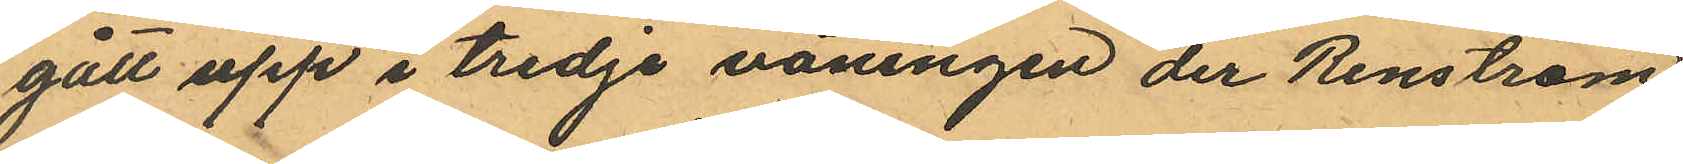gått upp i tredje våningen der Renström
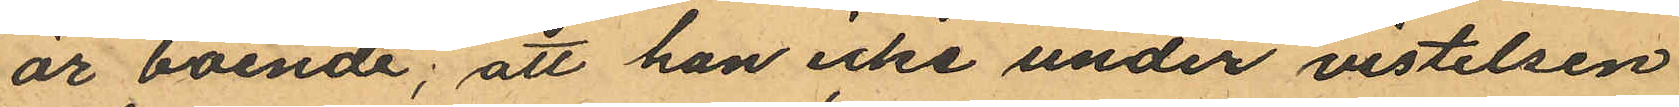är boende; att han icke under vistelsen
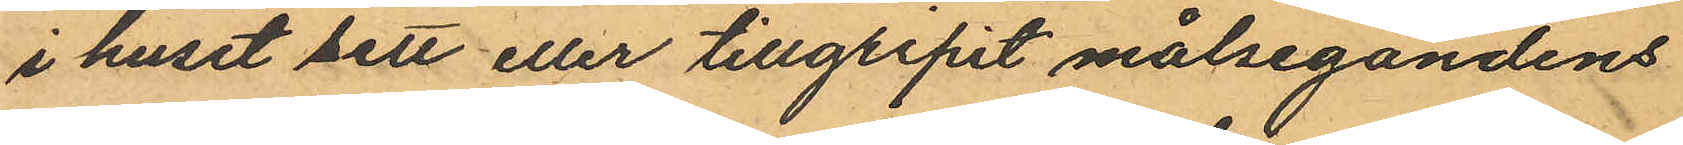i huset sett eller tillgripit målsegandens
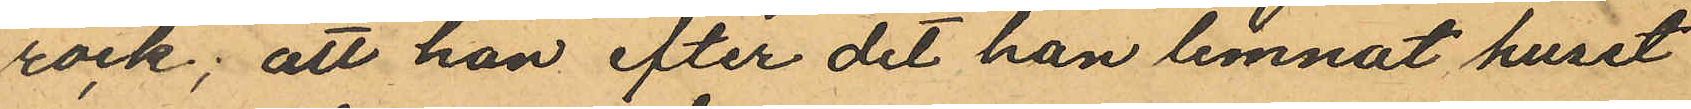rock; att han efter det han lemnat huset
